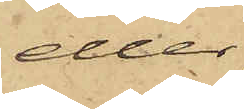eller,
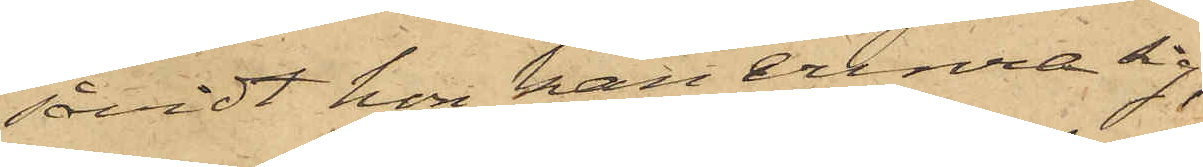såvidt hon kan erinra sig,
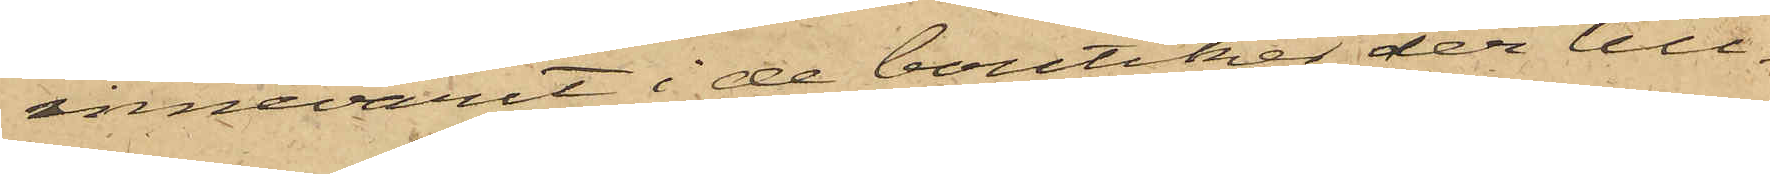innevarit i de boutiker der till¬
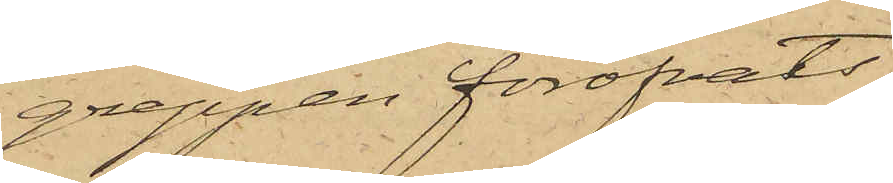greppen föröfvats.
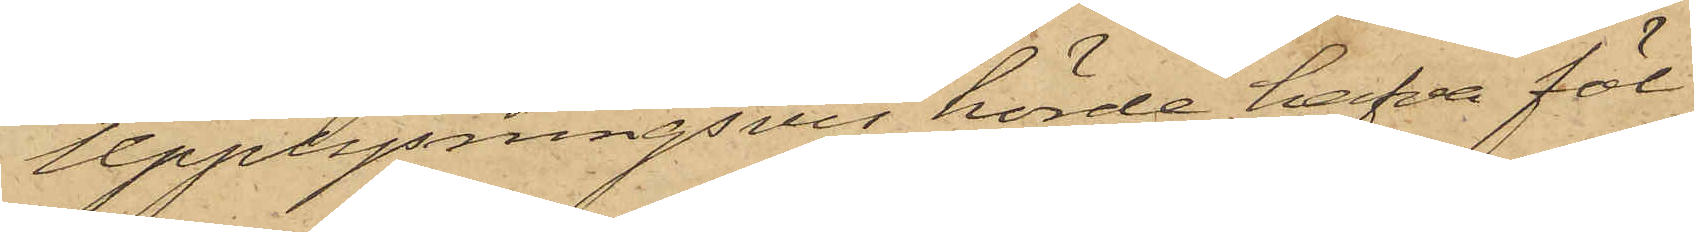Upplysningsvis hörde hafva föl¬
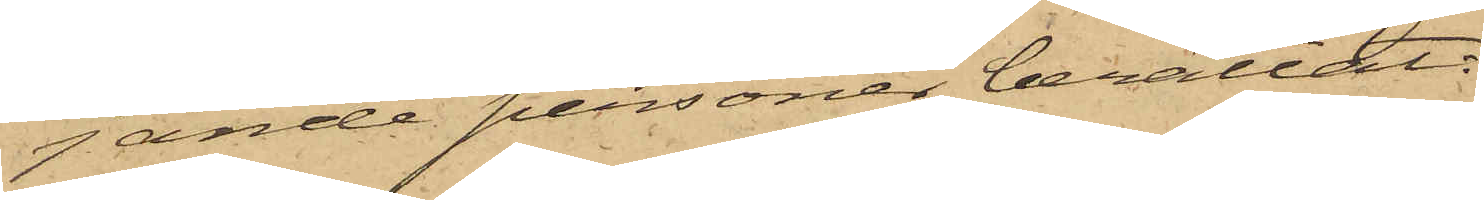fande personer berättat:
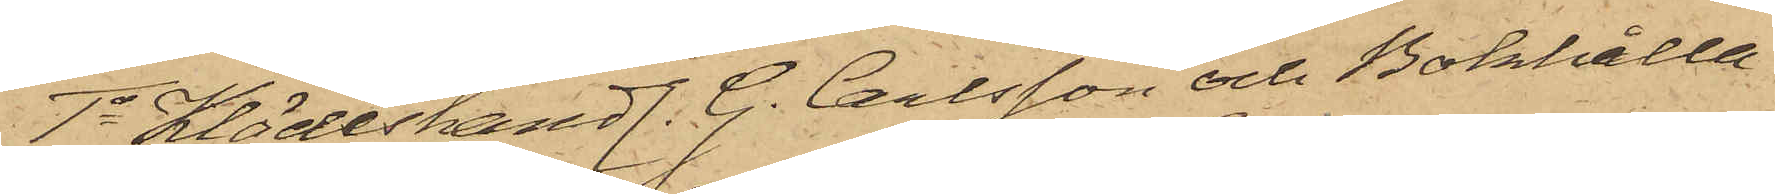1o Klädeshandl. G. Carlsson och Bokhålla¬
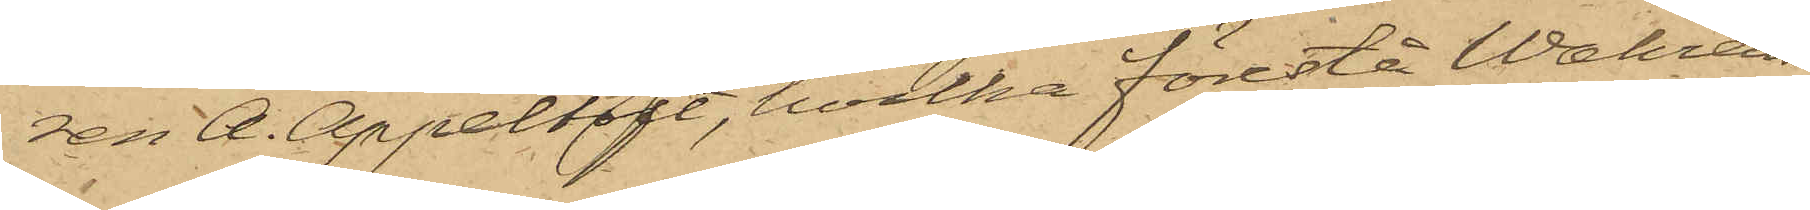ren A. Appeltoft, hvilka förestå Wahrens
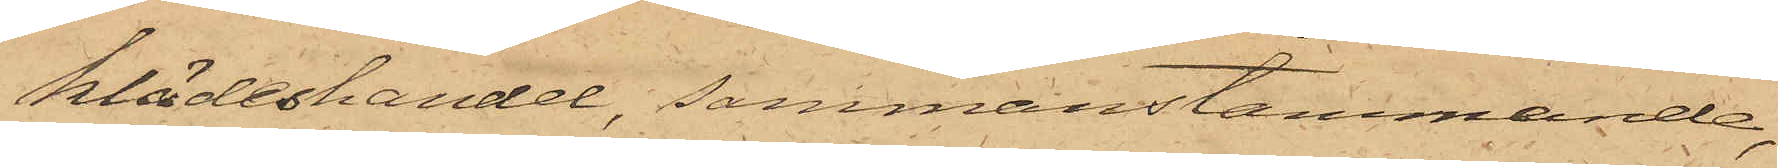klädeshandel, sammanstämmande,
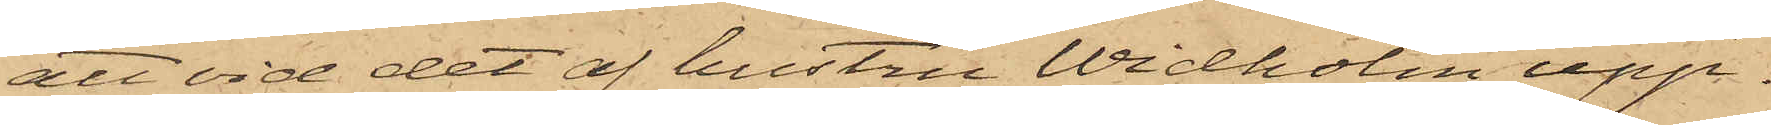att vid det af hustru Widholm upp¬
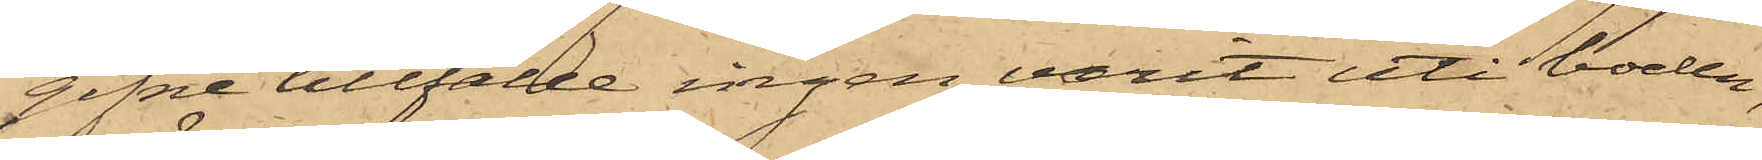gifne tillfälle ingen varit uti boden,
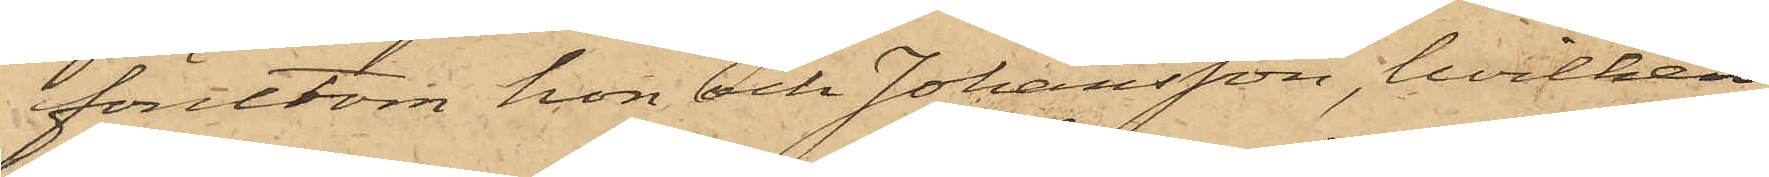förutom hon och Johansson, hvilken
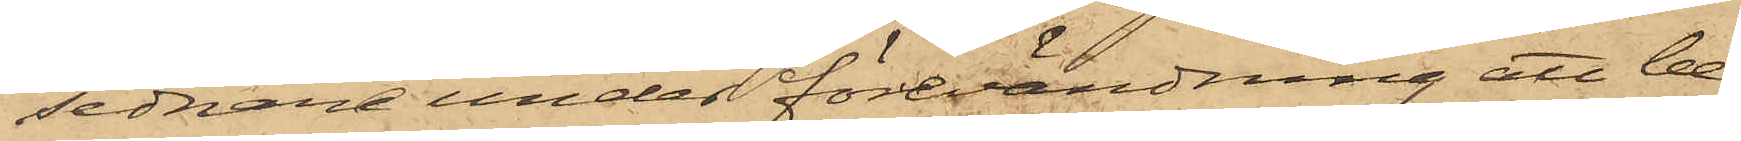sednare under förevändning att be¬
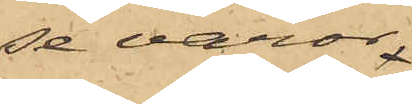se varor,
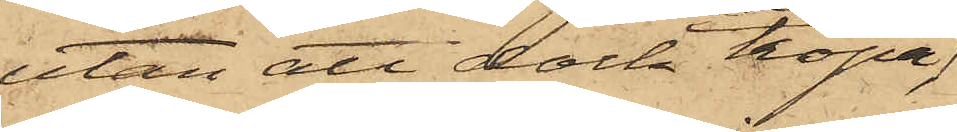utan att dock köpa
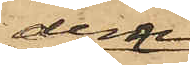dem
